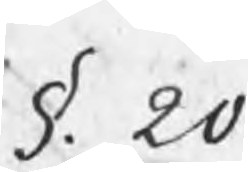§. 20
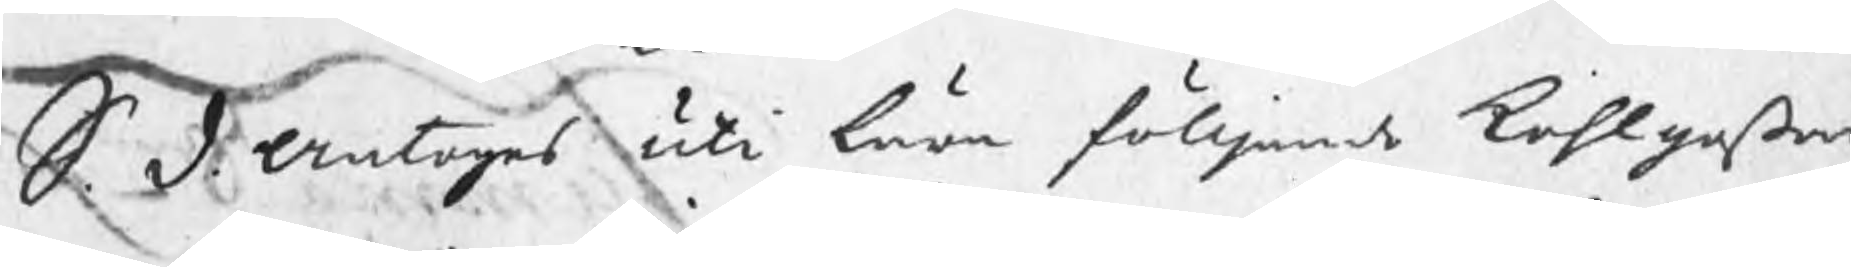S. D. Antoges uti lära fölljande Kohlgoßar
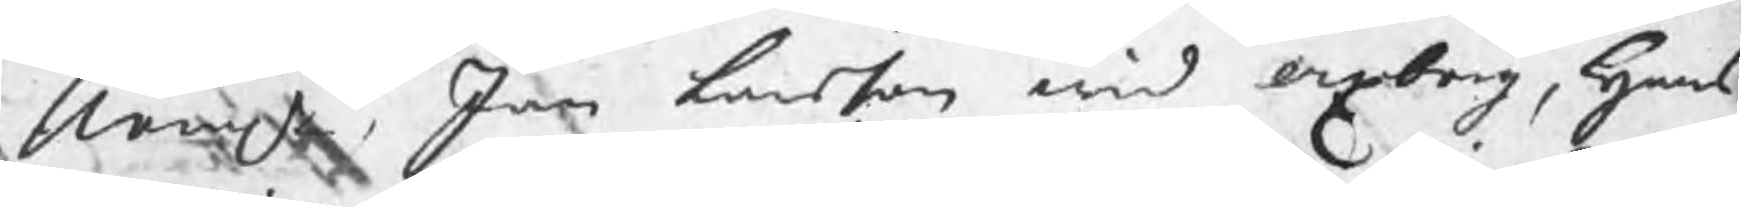Nembl. Jan Larsson wid Axberg, Hans
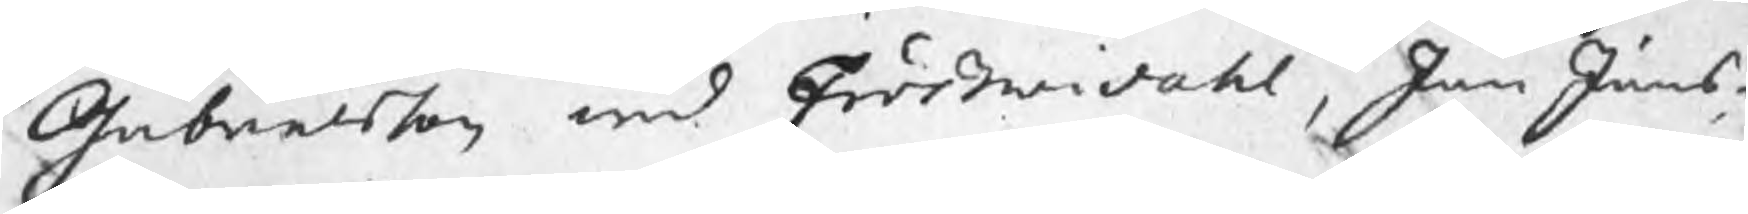Gabrielsson wid Frößwidahl, Jan Jans¬
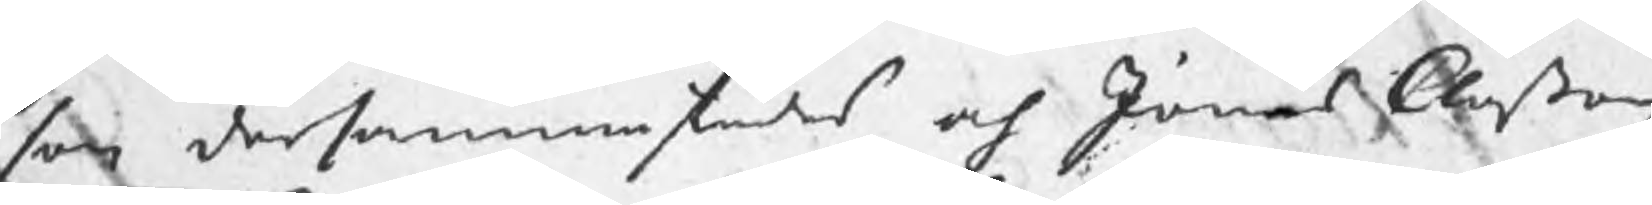son dersammastädes och Jonas Claßon
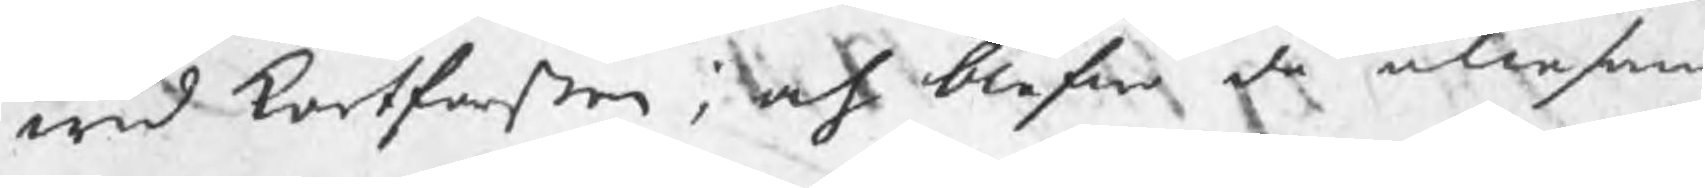wid Kortforßen; och blefwo de allesam¬
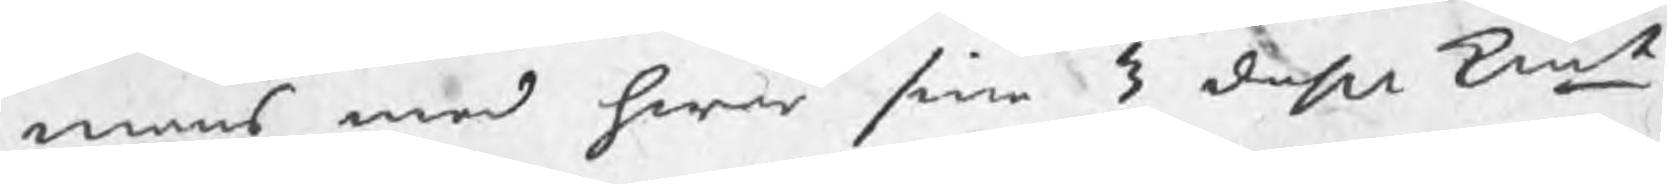mans med hwar sine 3 daler kmt
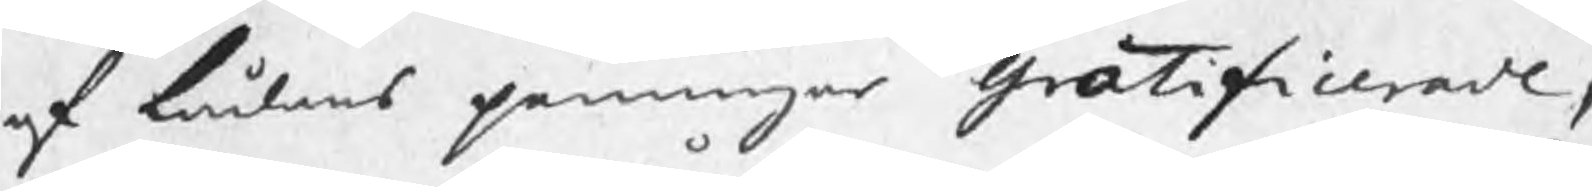af lådans penningar Gratificerade,
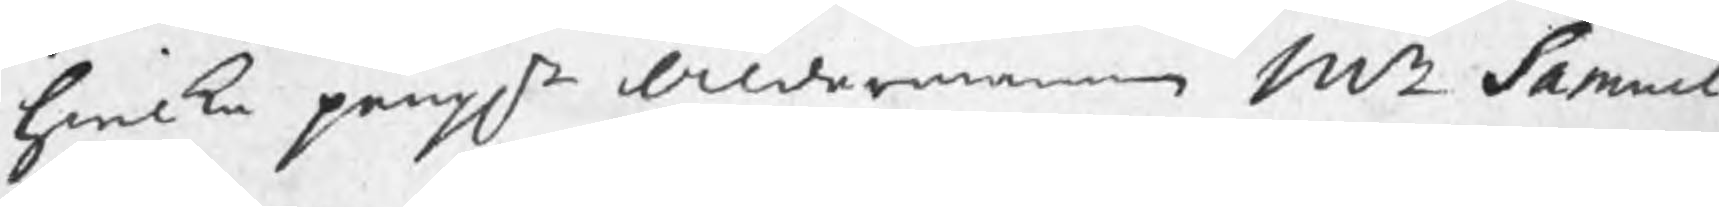hwilka pengr Åldermannen Mr Samuel
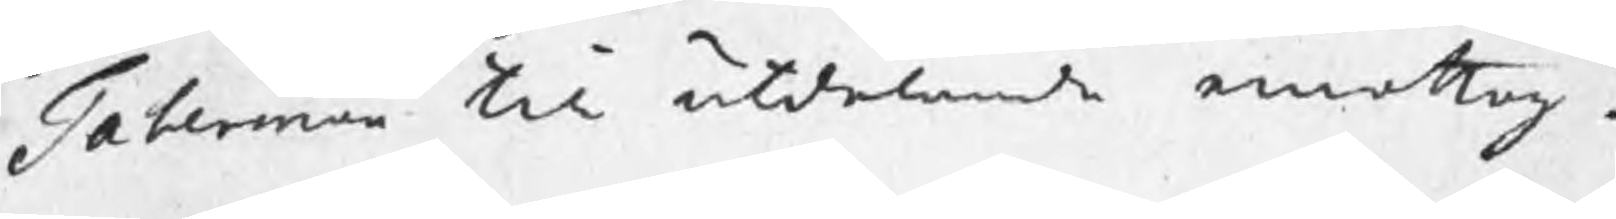Taberman till utdelande emottog.
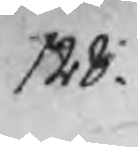128.
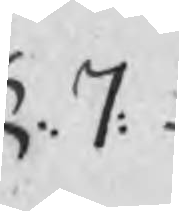§: 7:
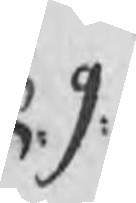§: 9:
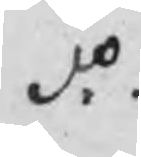do:
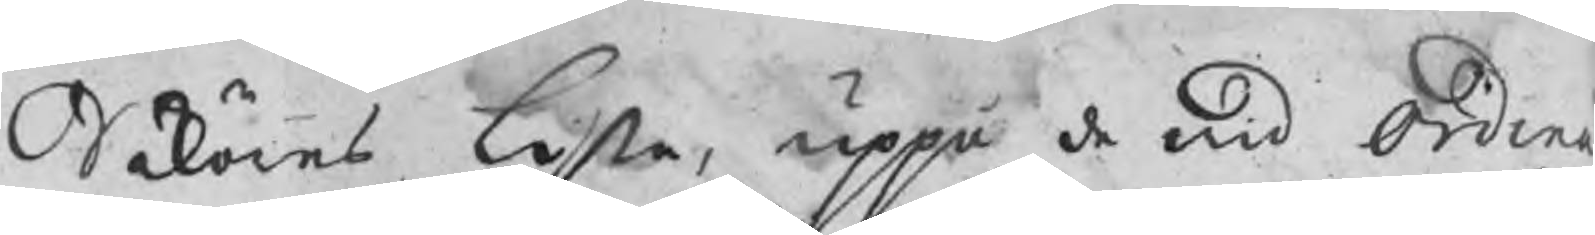Saköres Lista, uppå de wid Ordina
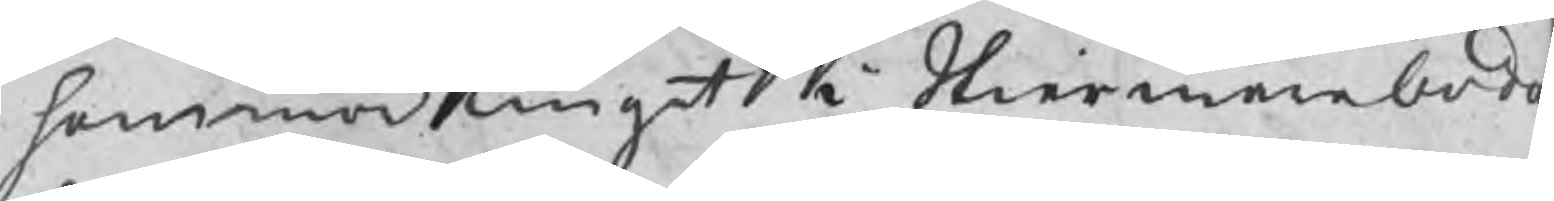hammarTinget i Skiermarboda
